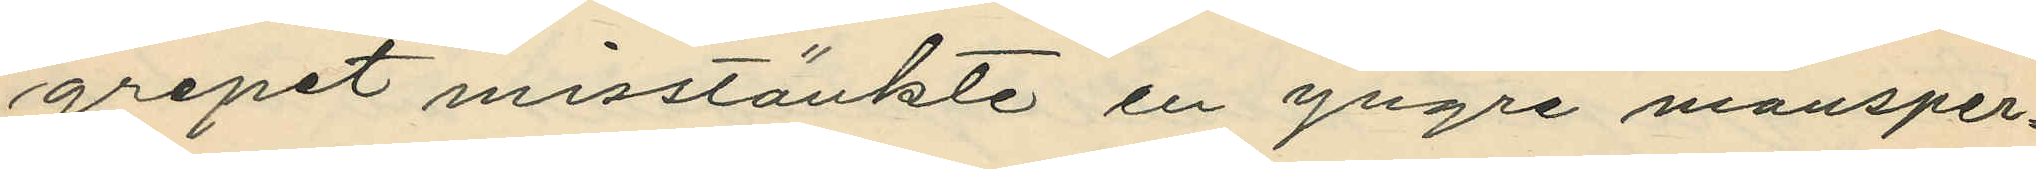grepet misstänkte en yngre mansper¬
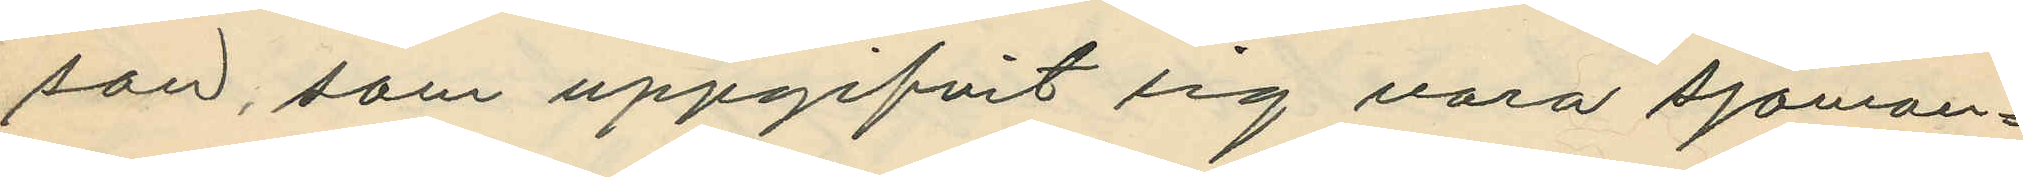son, som uppgifvit sig vara sjöman¬
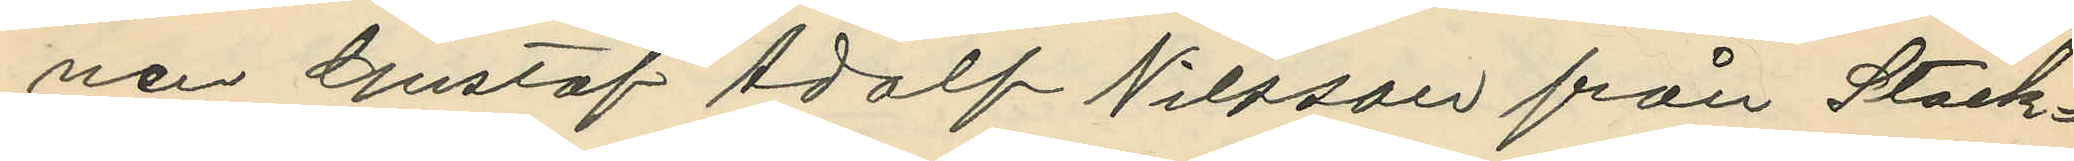nen Gustaf Adolf Nilsson från Stock¬
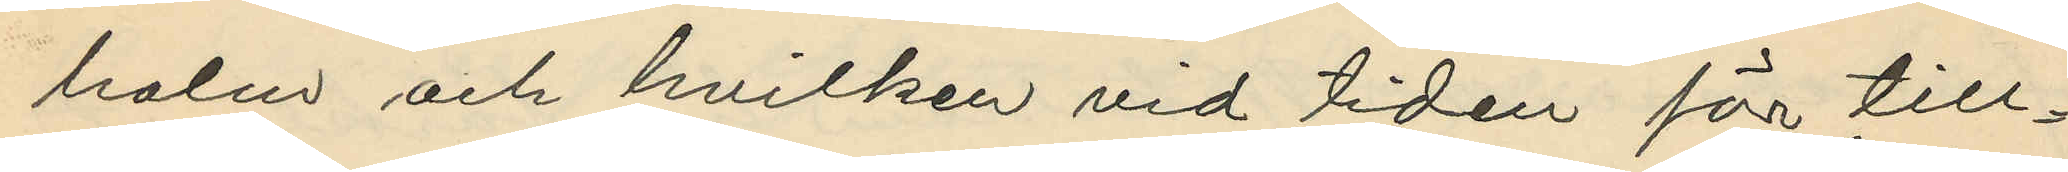holm och hvilken vid tiden för till¬
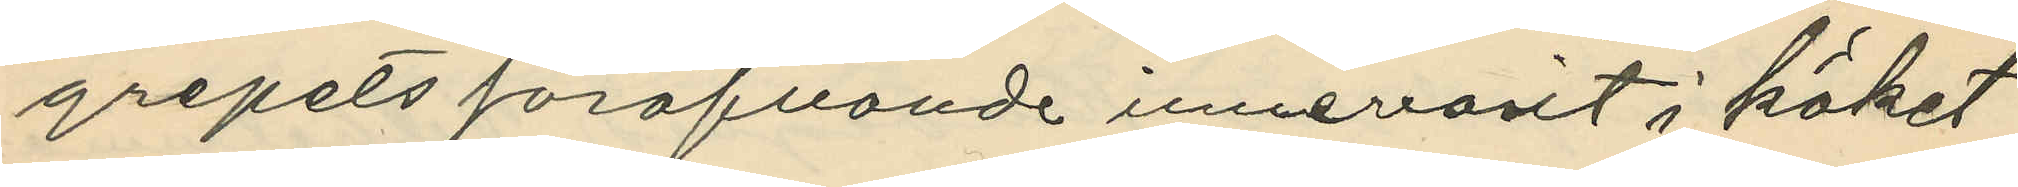grepets föröfvande innevarit i köket
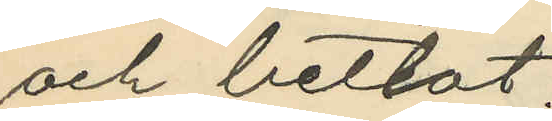och betlat.
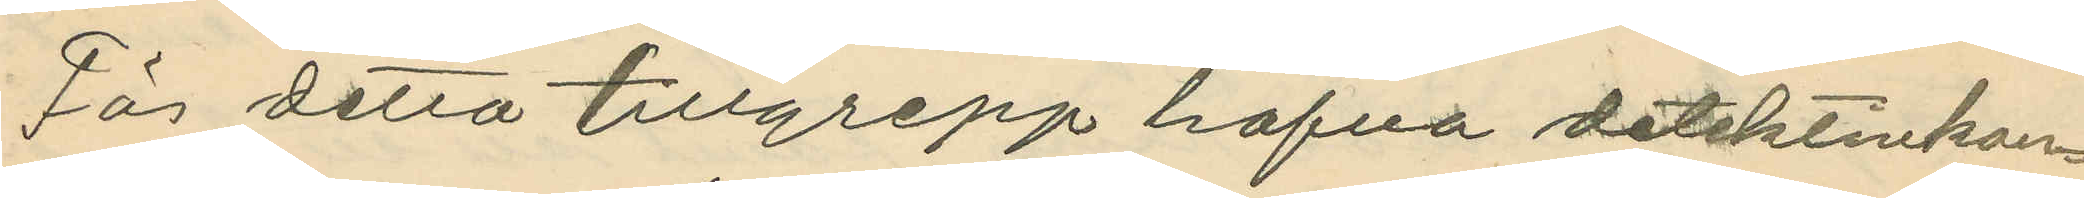För detta tillgrepp hafva detektivkon¬
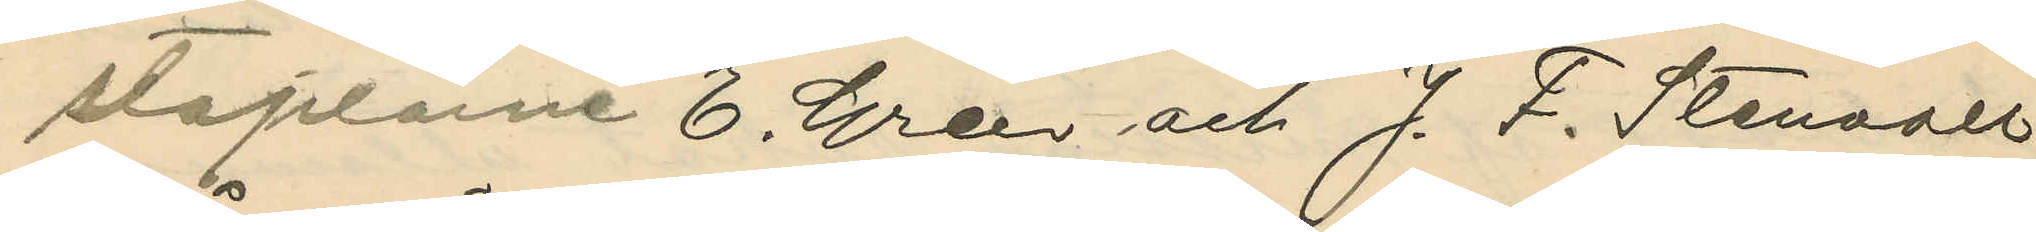staplarne E. Gren och J. F. Stenvall
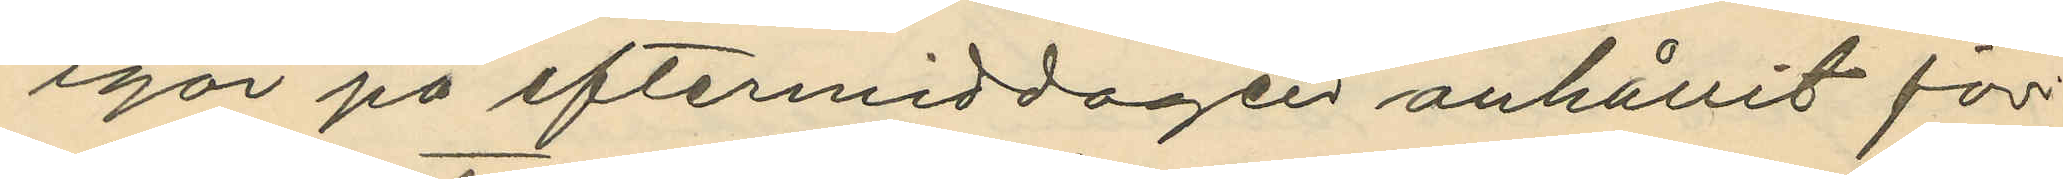igår på eftermiddagen anhållit för
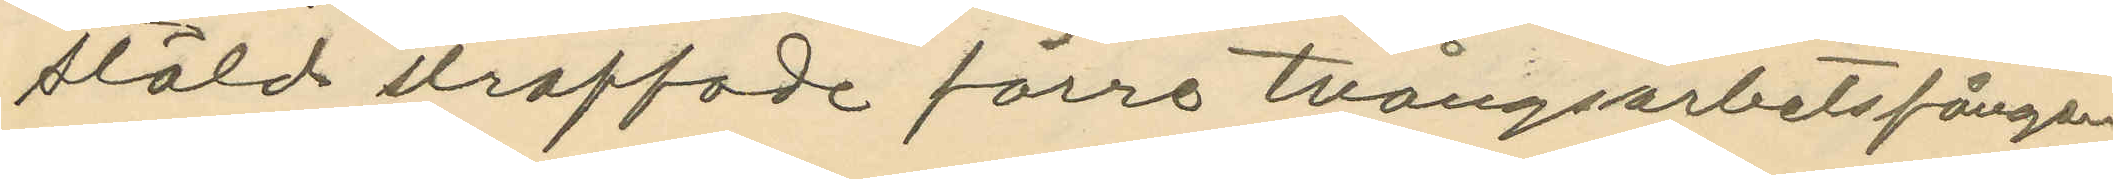stöld straffade förre tvångsarbetsfången
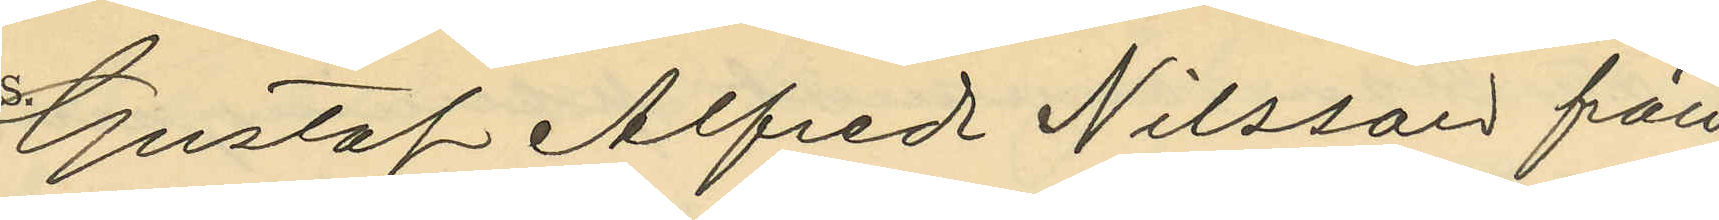Gustaf Alfred Nilsson från
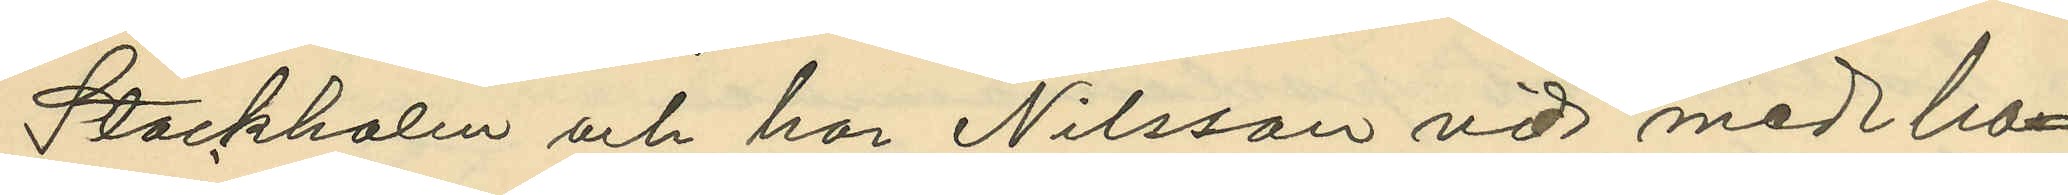Stockholm och har Nilsson vid med ho¬
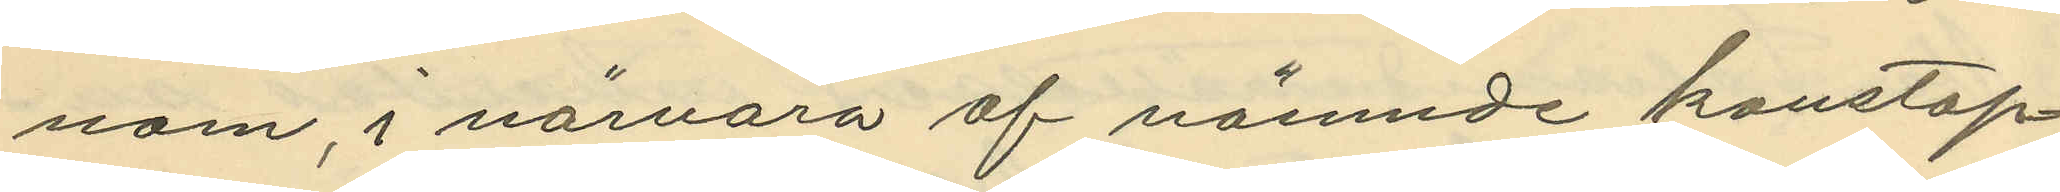nom, i närvaro af nämnde konstap¬
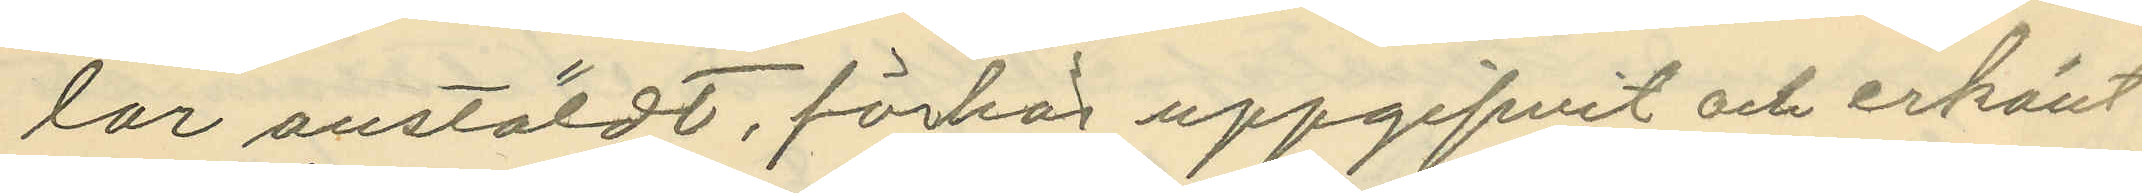lar anstäldt, förhör uppgifvit och erkänt
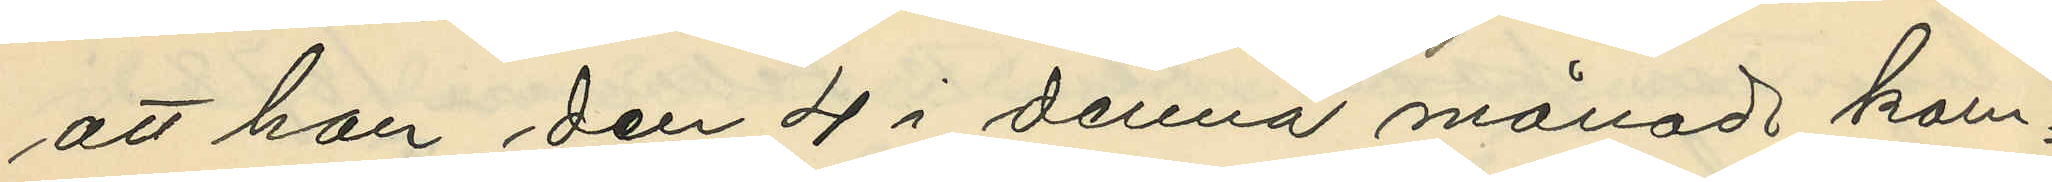att han den 4 i denna månad kom¬
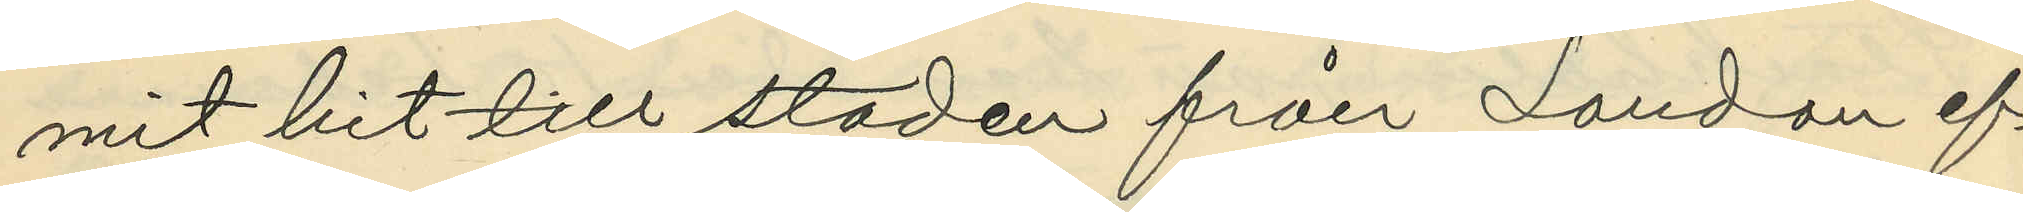mit hit till staden från London ef¬
